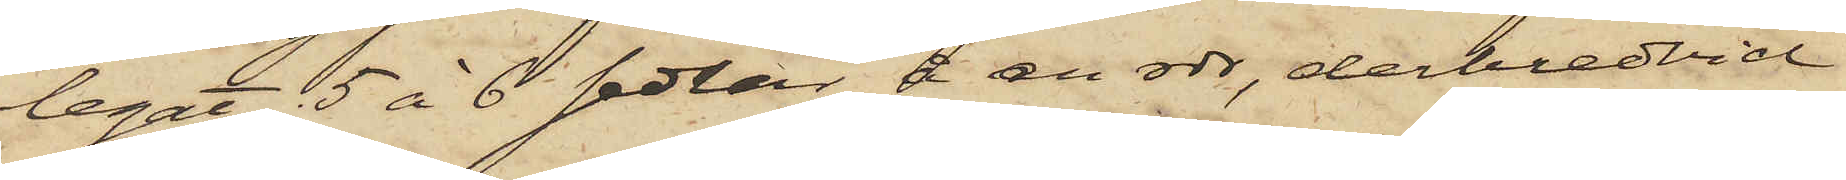legat 5 à 6 sedlar å en rdr, derbredvid
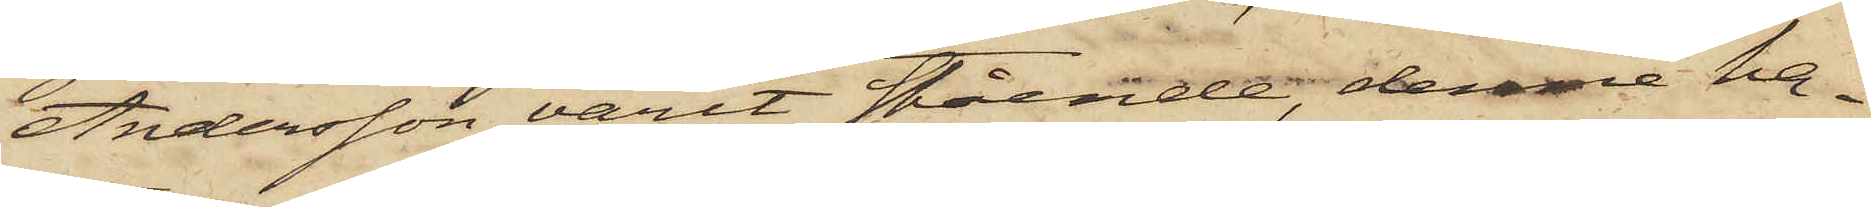Andersson varit stående, denne ha¬
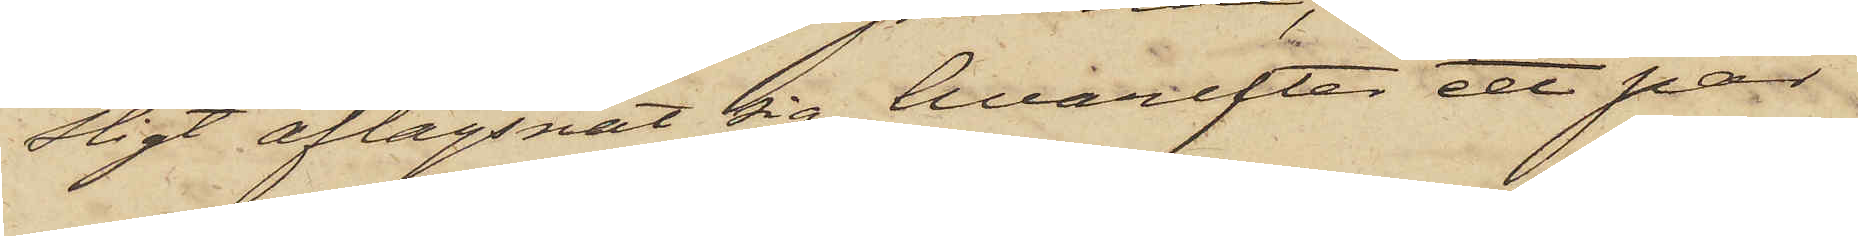stigt aflägsnat sig, hvarefter ett par
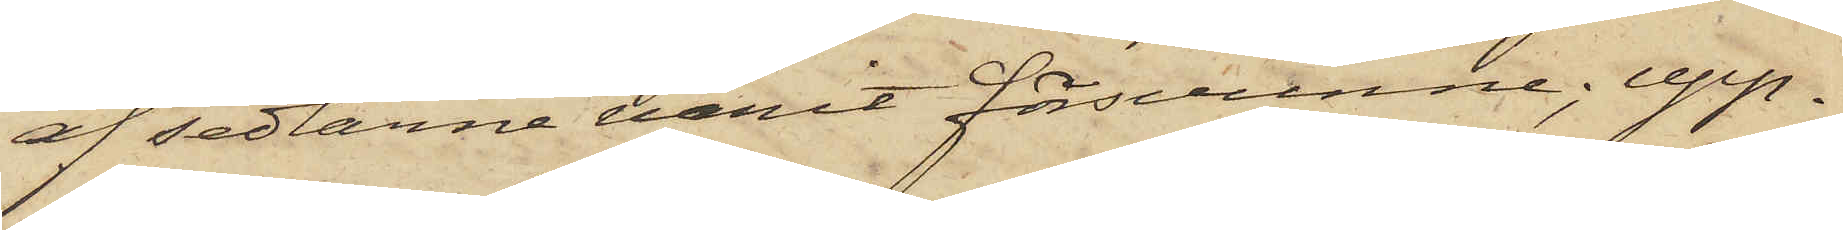af sedlarne varit försvunne; upp¬
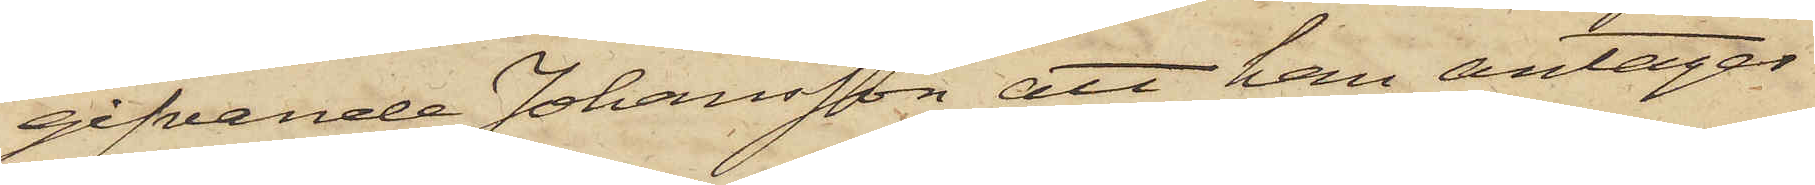gifvande Johansson att han antager
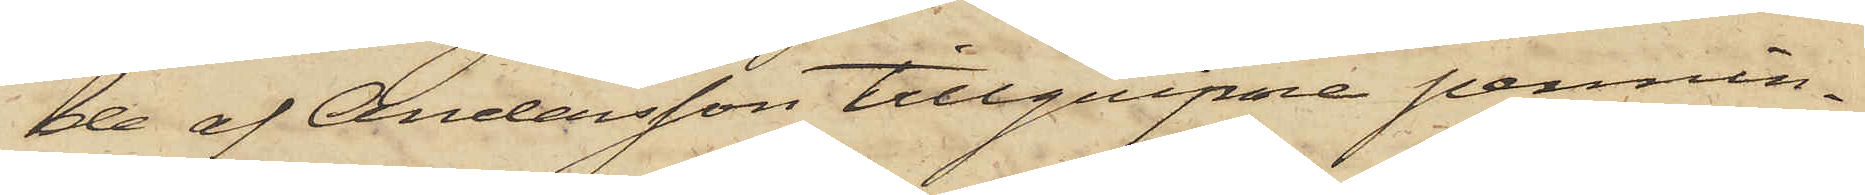de af Andersson tillgripne pennin¬
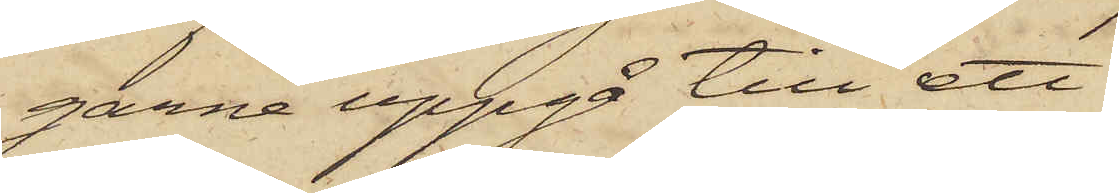garne uppgå till ett
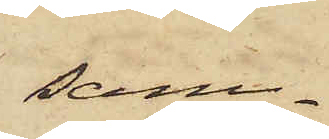sam¬
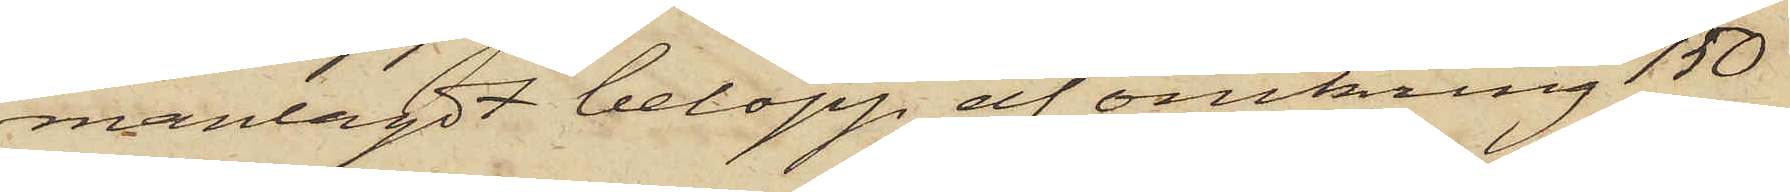manlagdt belopp af omkring 150
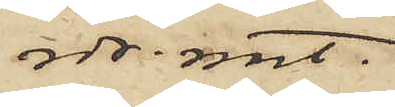rdr. rmt.
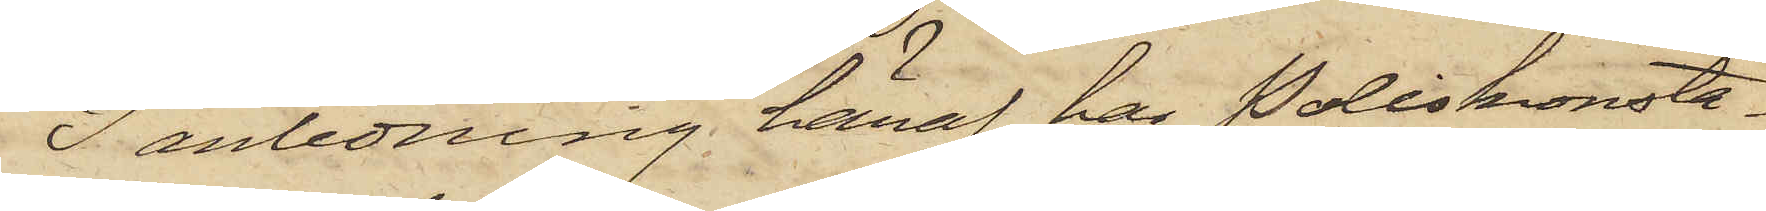I anledning häraf har Poliskonsta¬
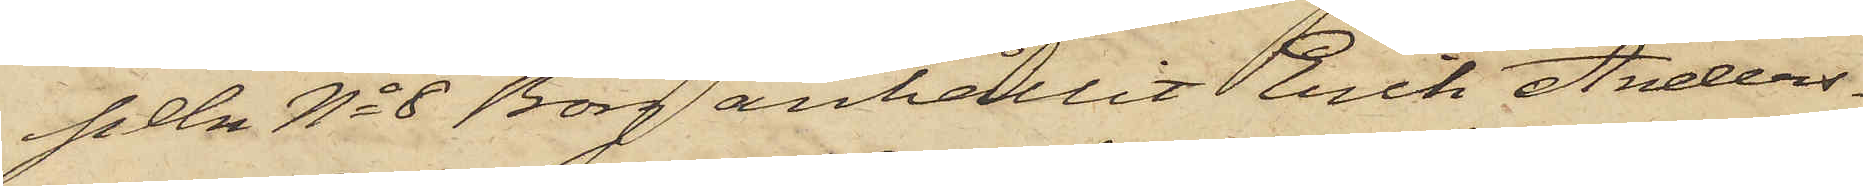peln No 8 Borg anhållit Erik Anders¬
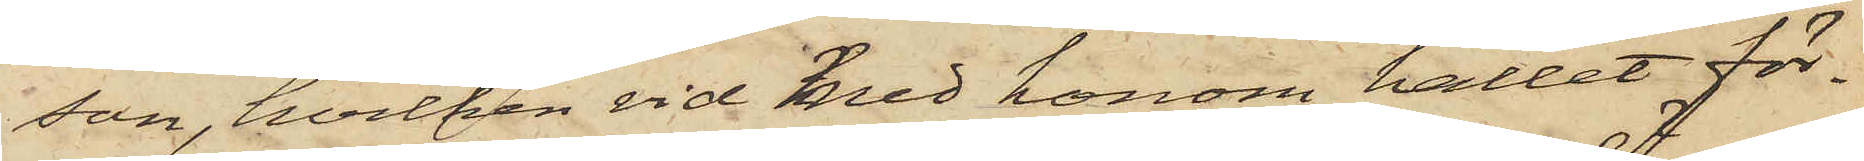son, hvilken vid med honom hållet för¬
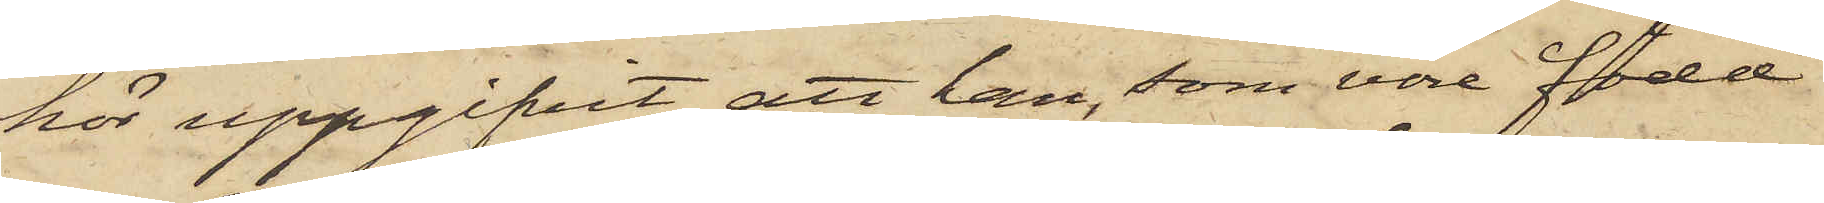hör uppgifvit, att han, som vore född
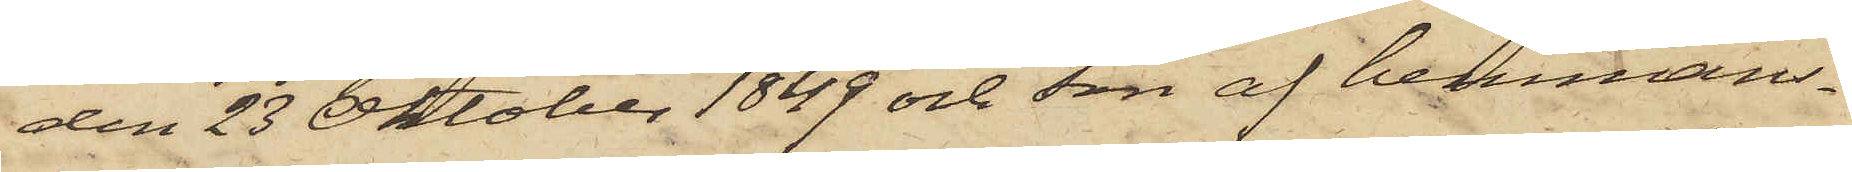den 23 Oktober 1849 och son af hemmans¬
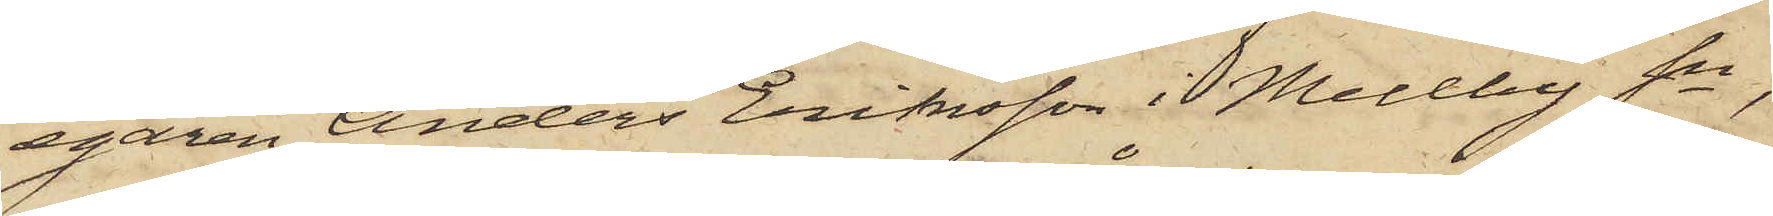egaren Anders Eriksson i Mellby Sn,
